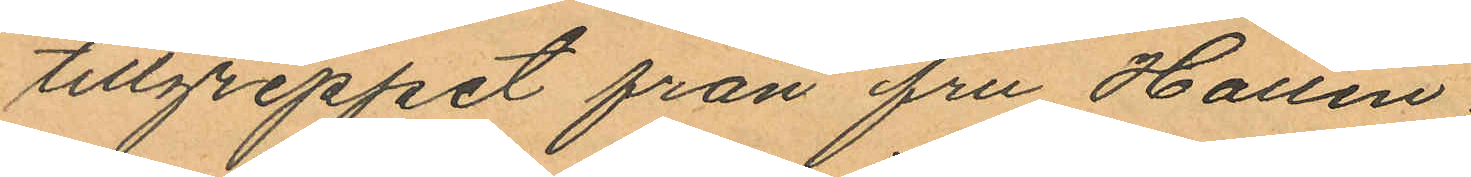tillgreppet från fru Hallin.
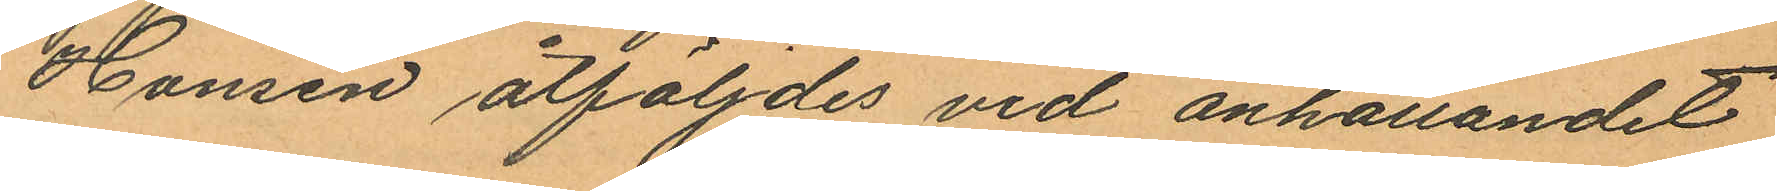Hansen åtföljdes vid anhållandet
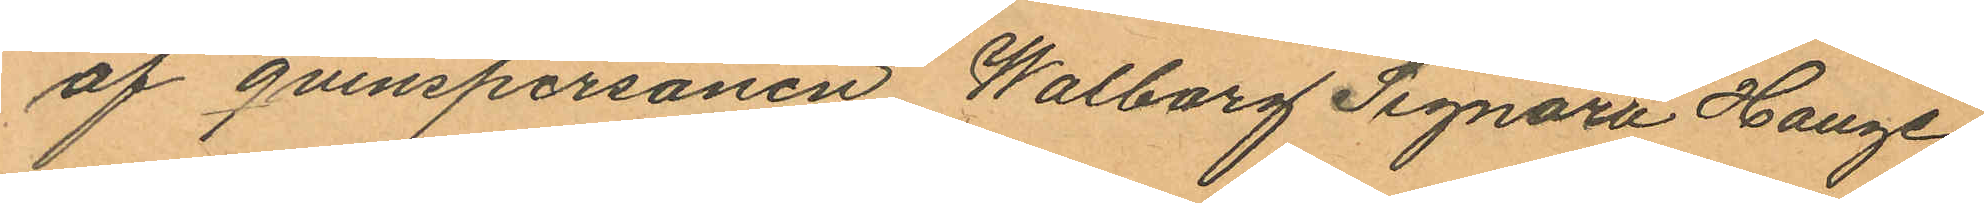af qvinspersonen Walborg Signora Hauge
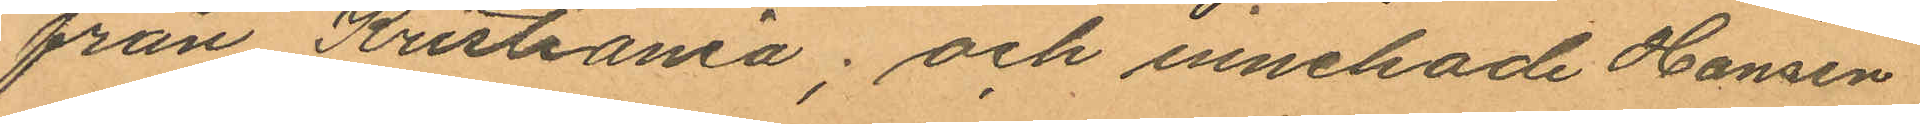från Kristiania; och innehade Hansen
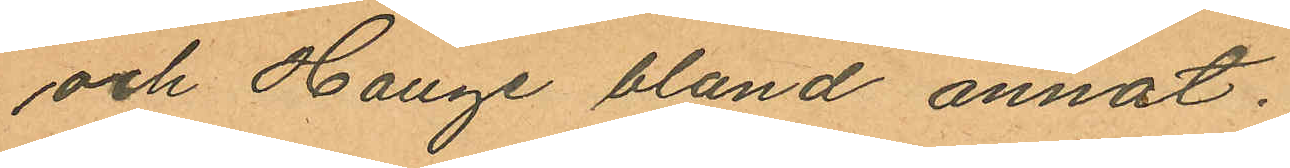och Hauge bland annat.
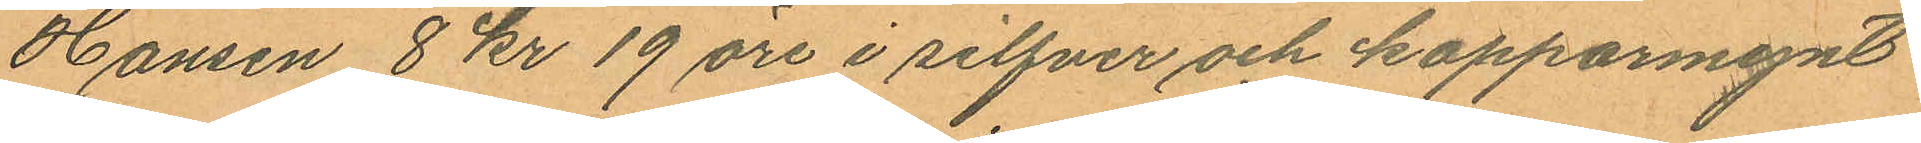Hansen 8 kr 19 öre i silfver och kopparmynt
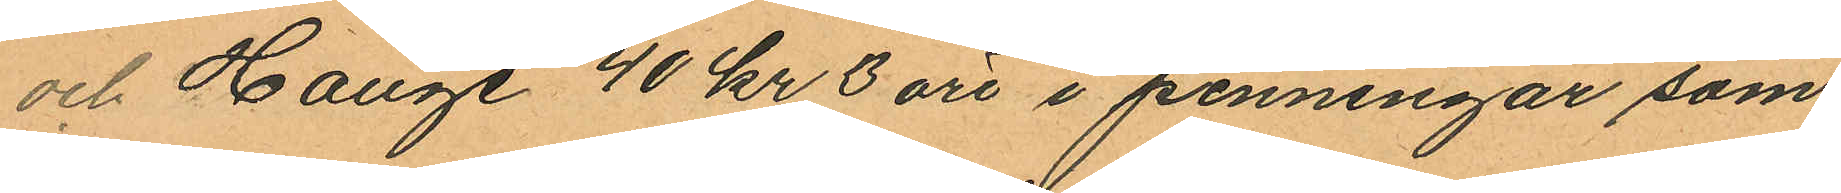och Hauge 40 kr 3 öre i penningar som
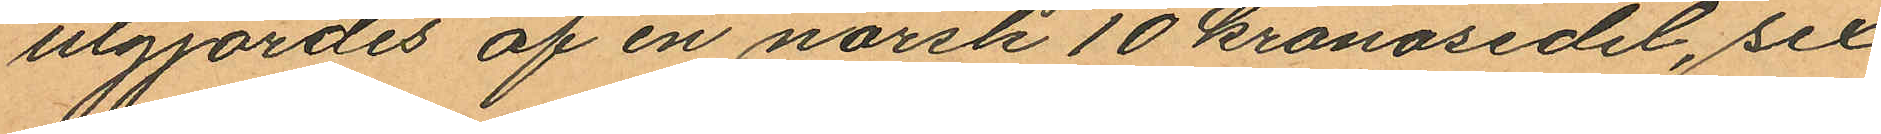utgjordes af en norsk 10 kronosedel, sex
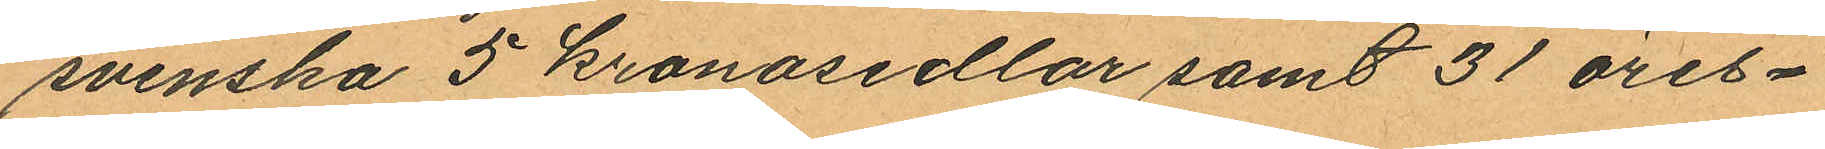svenska 5 kronosedlar samt 31 öres-
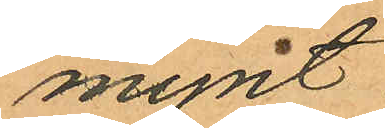mynt.
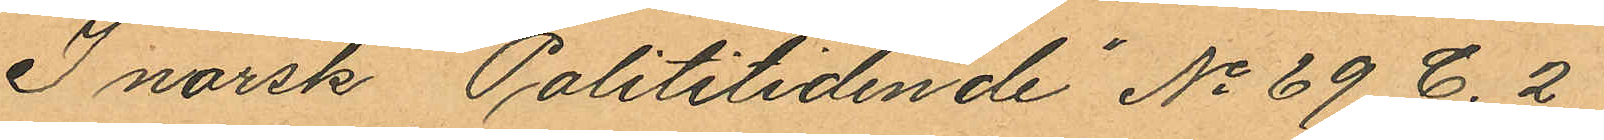I norsk "Polititidende" No 69 C. 2
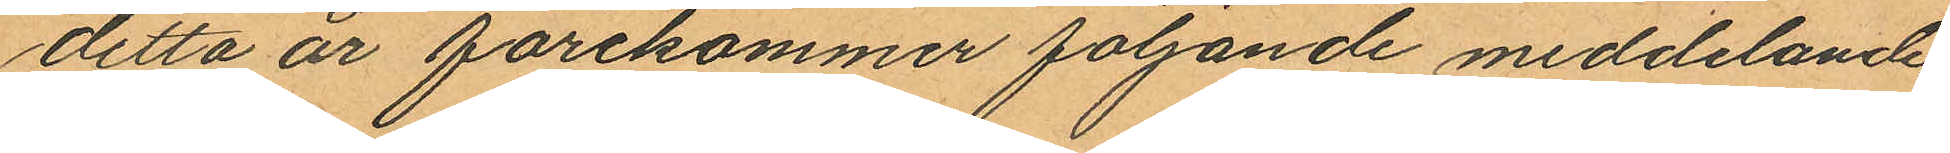detta år förekommer följande meddlelande:
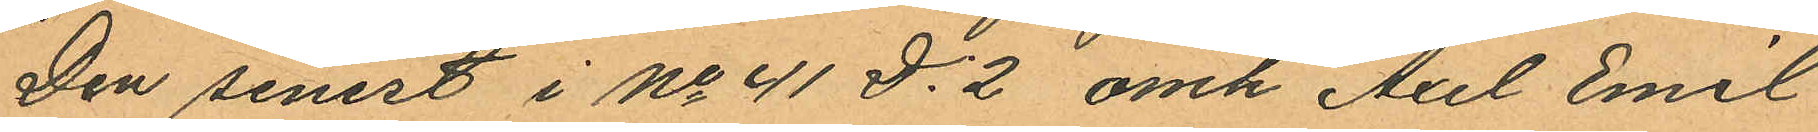"Den senest i No 41 D. 2 omk Axel Emil
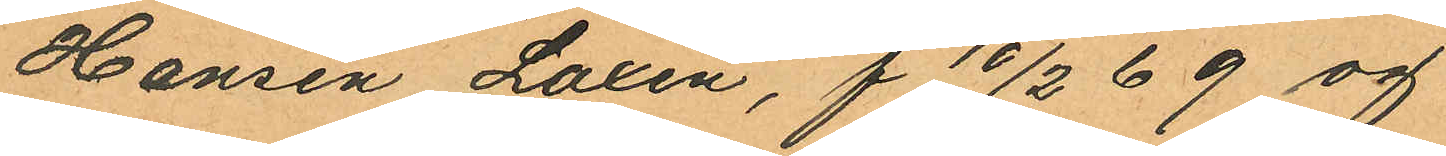Hansen "Laxen", f 10/2 69 og
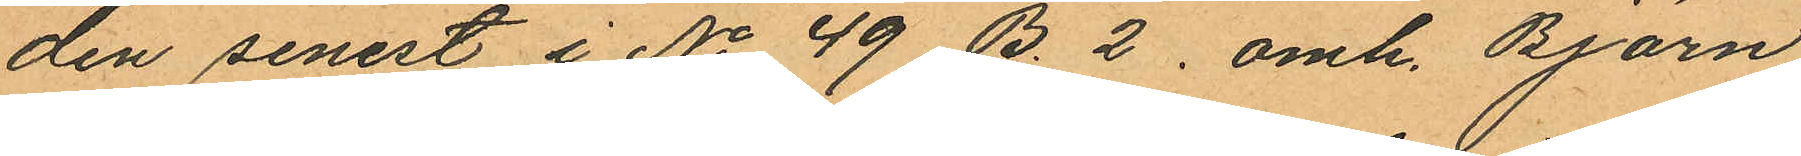den senest i No 49 B. 2. omk. Björn
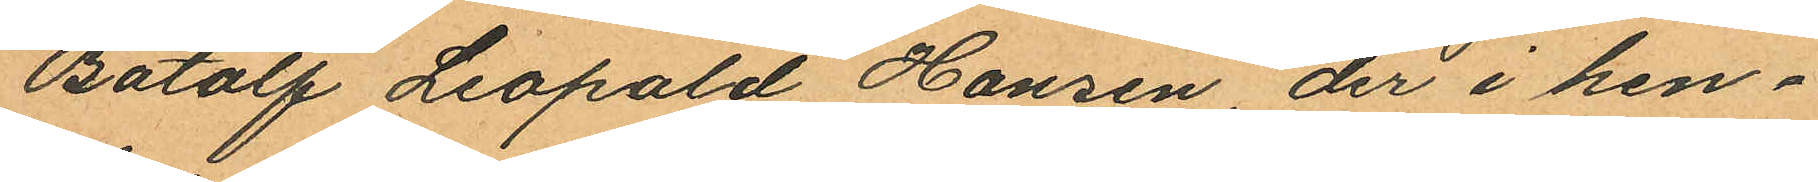Batolf Leopold Hansen, der i hen¬
